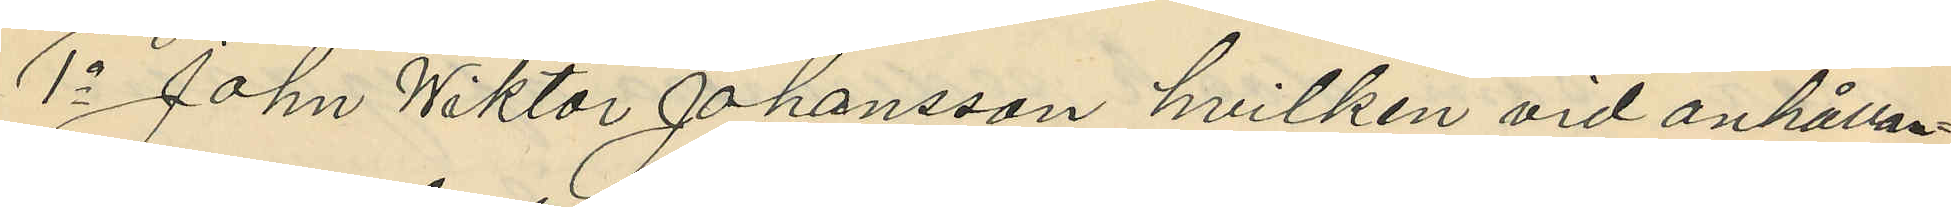1o John Wiktor Johansson hvilken vid anhållan¬
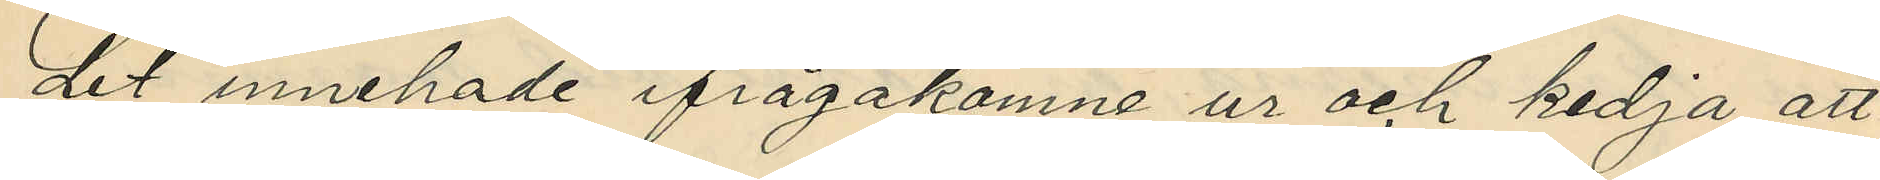det innehade ifrågakomne ur och kedja att
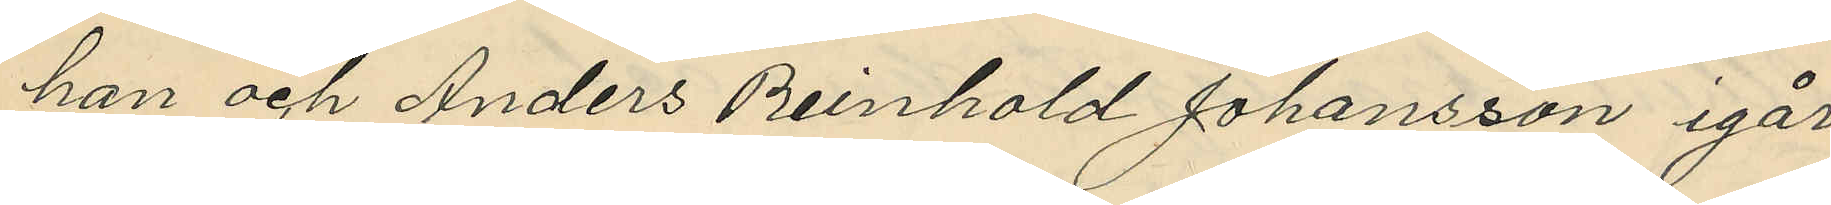han och Anders Reinhold Johansson igår
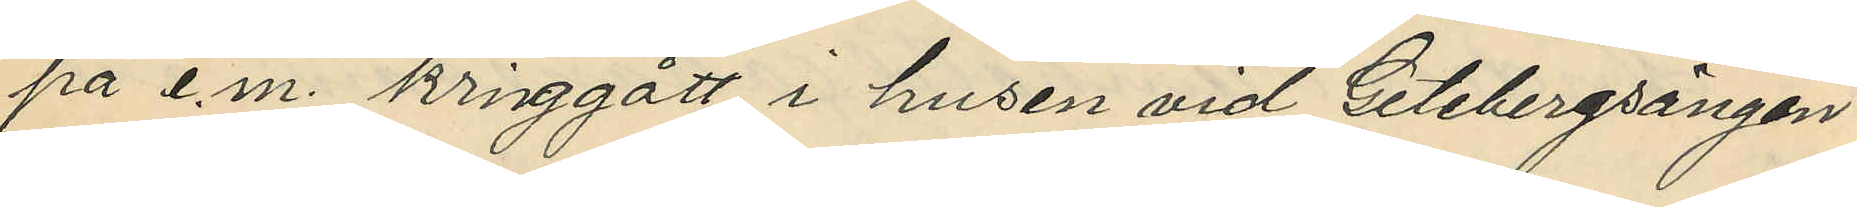på e.m. kringgått i husen vid Getebergsängen
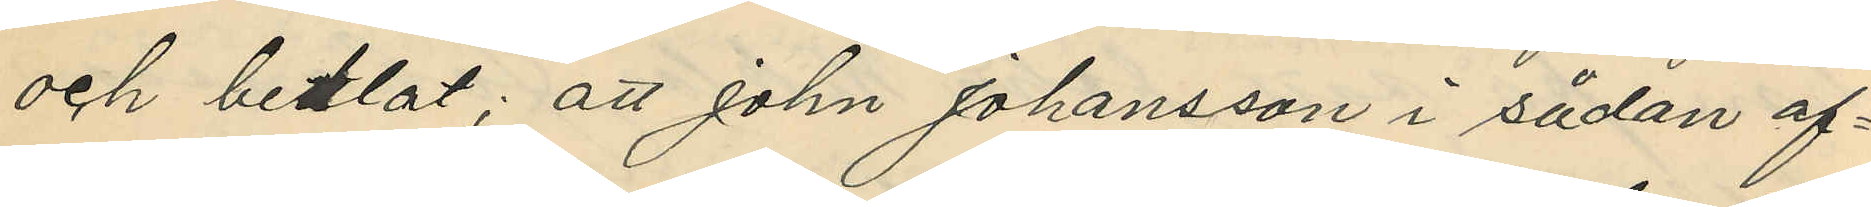och betlat; att John Johansson i sådan af¬
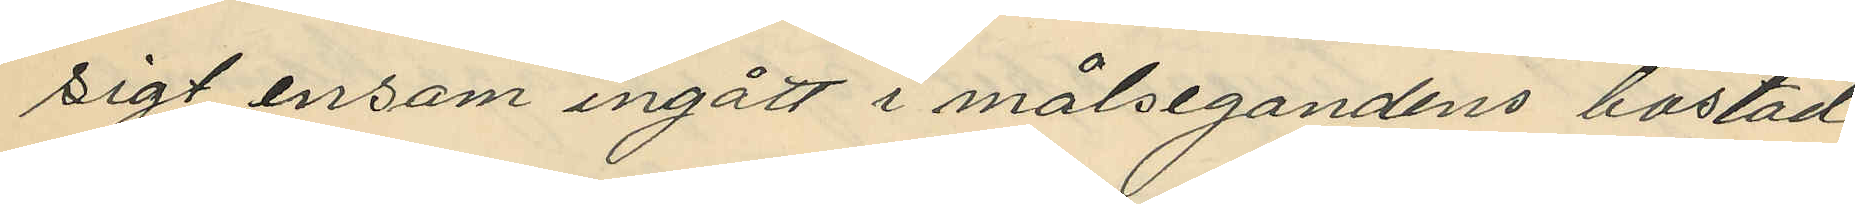sigt ensam ingått i målsegandens bostad
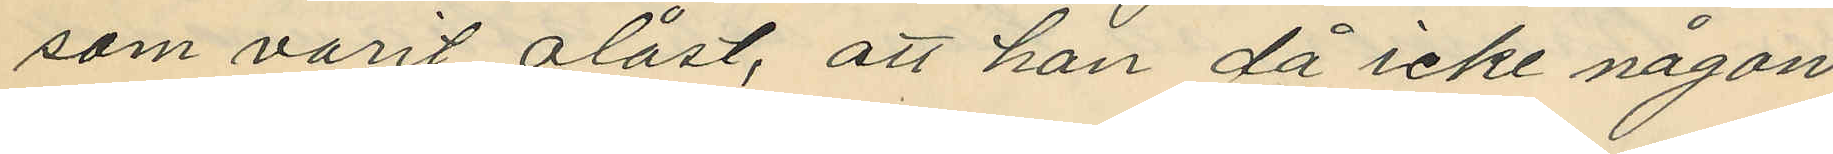som varit olåst, att han då icke någon
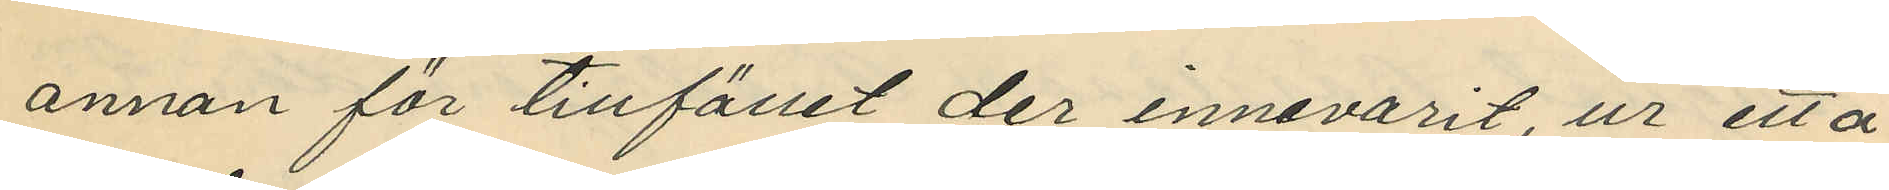annan för tillfället der innevarit, ur ett å
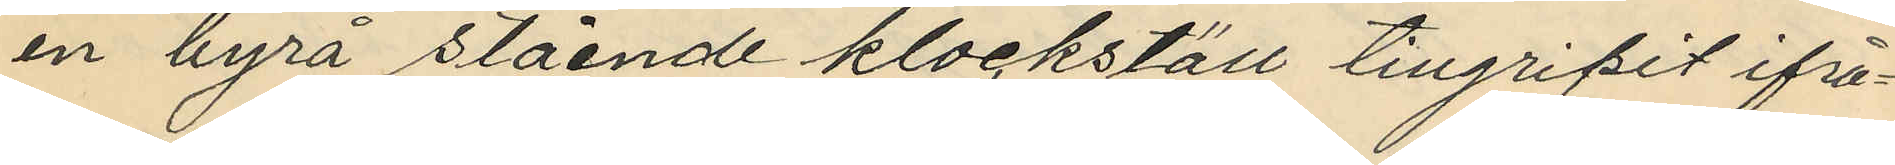en byrå stående klockställ tillgripit ifrå¬
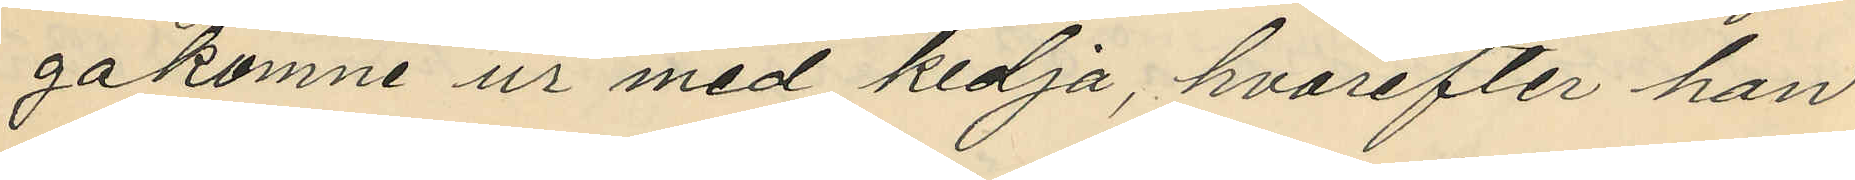gakomne ur med kedja, hvarefter han
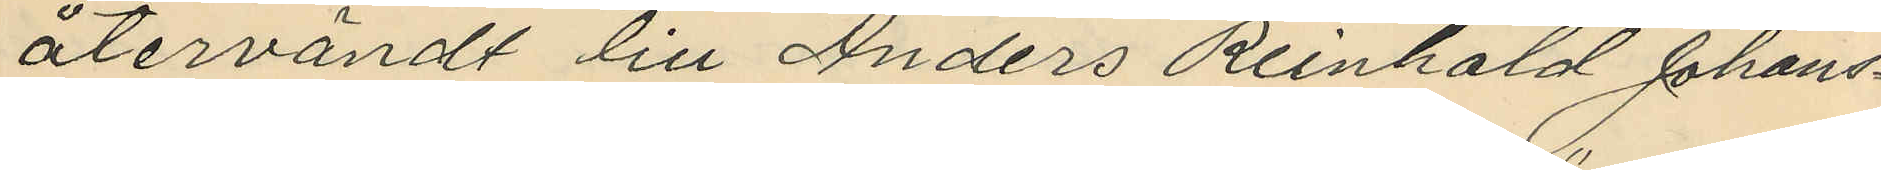återvändt till Anders Reinhold Johans¬
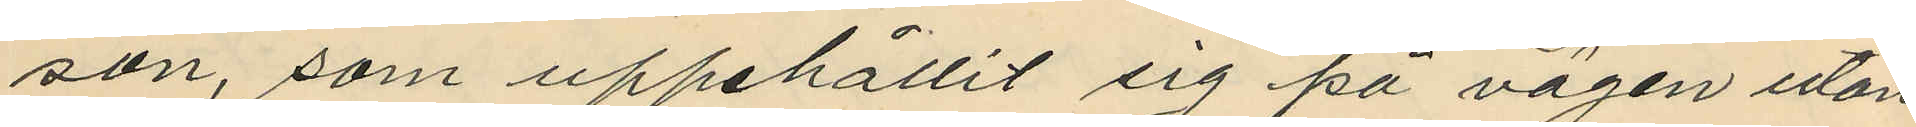son, som uppehållit sig på vägen utan
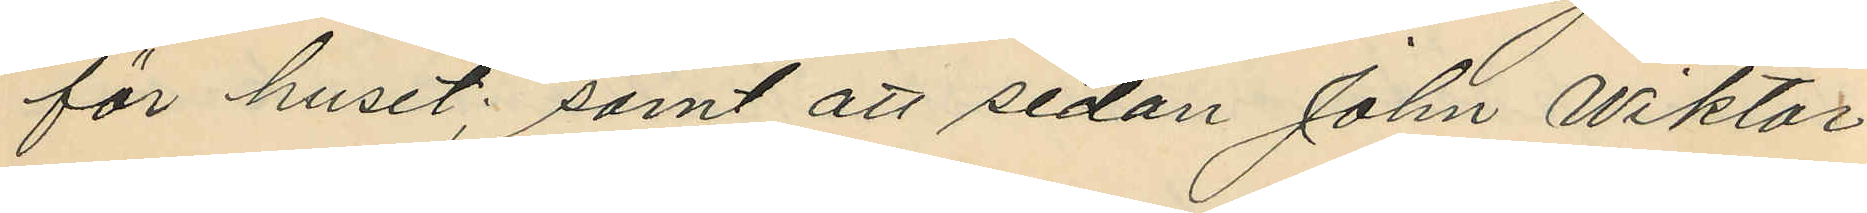för huset; samt att sedan John Viktor
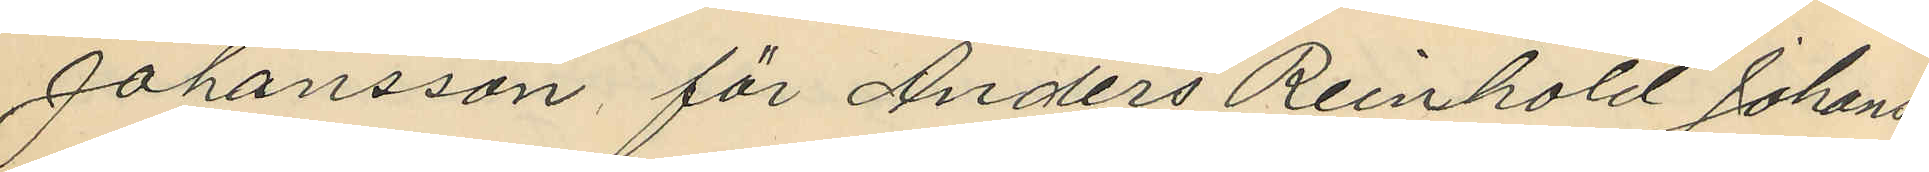Johansson för Anders Reinhold Johans¬
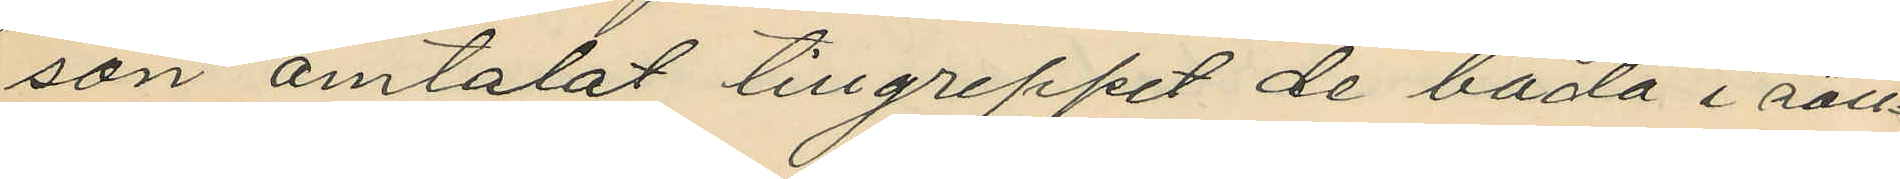son omtalat tillgreppet de båda i säll¬
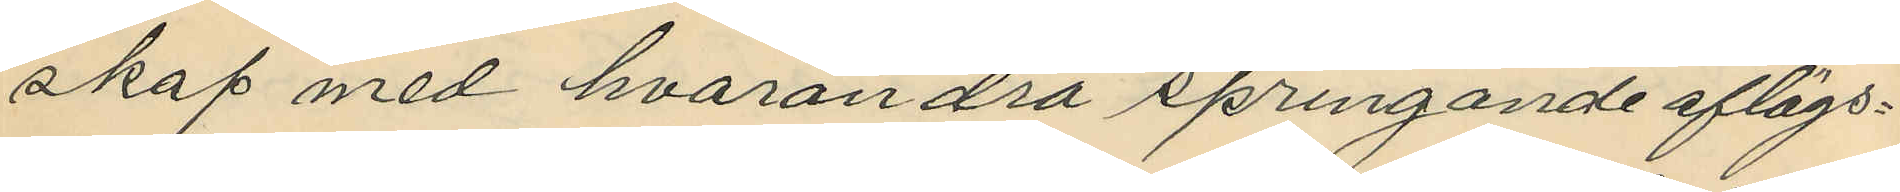skap med hvarandra springande aflägs¬
